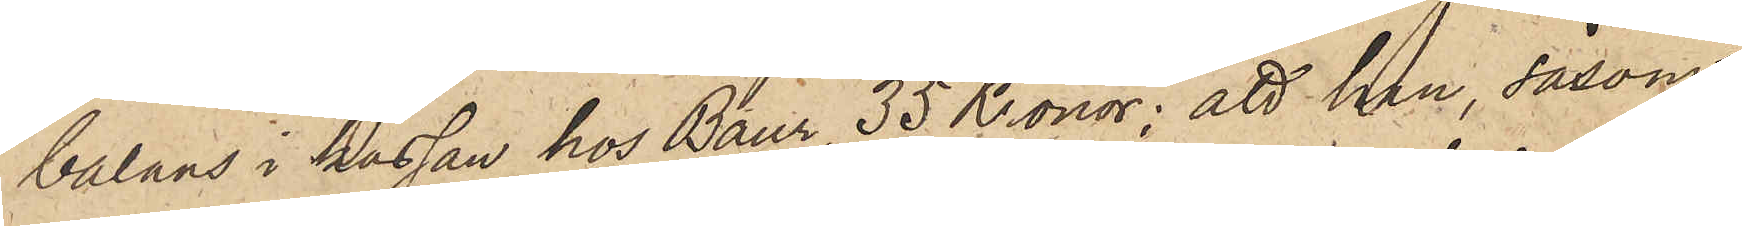balans i kassan hos Baur, 35 Kronor; att han, såsom
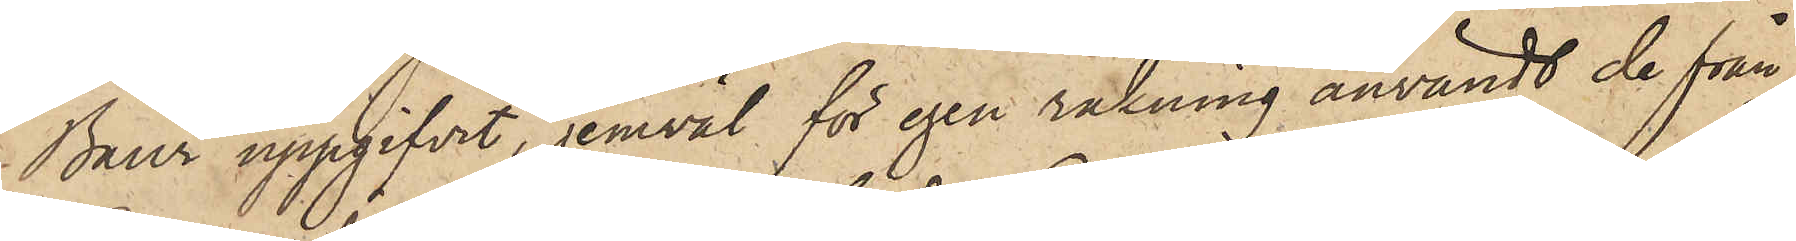Baur uppgifvit, jemväl för egen räkning användt de från
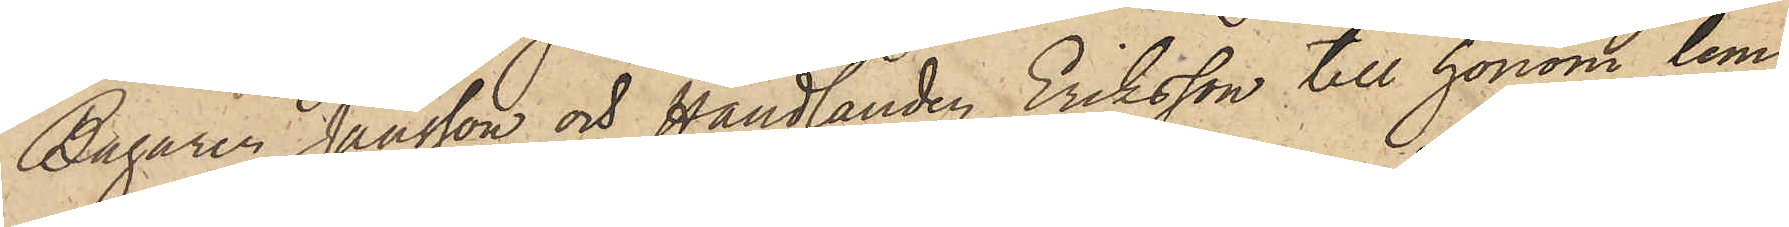Bagaren Jansson och Handlanden Eriksson till honom lem¬
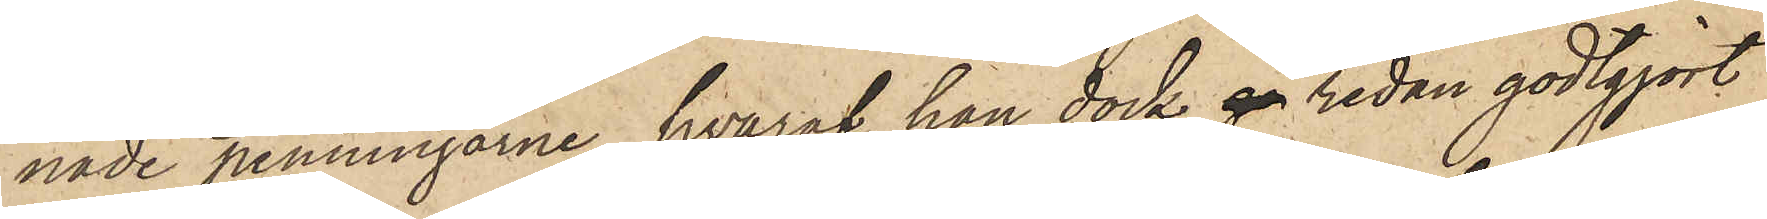nade penningarne, hvaraf han dock gå redan godtgjort
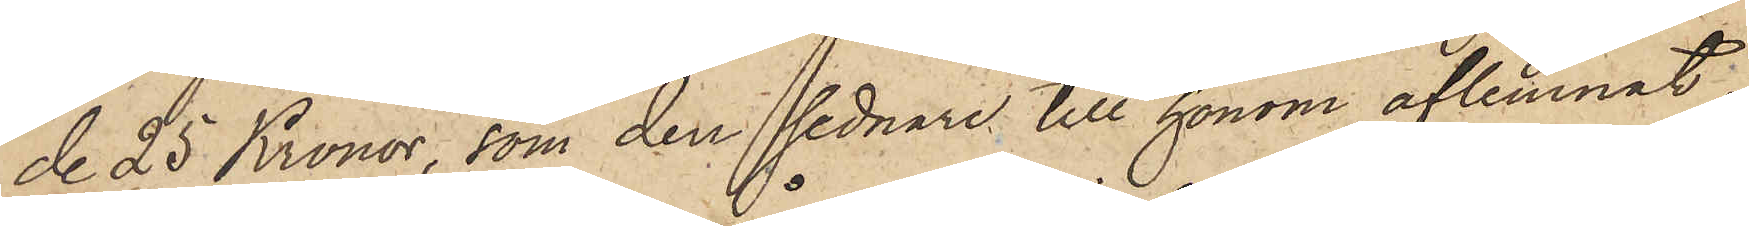de 25 Kronor, som den sednare till honom aflemnat,
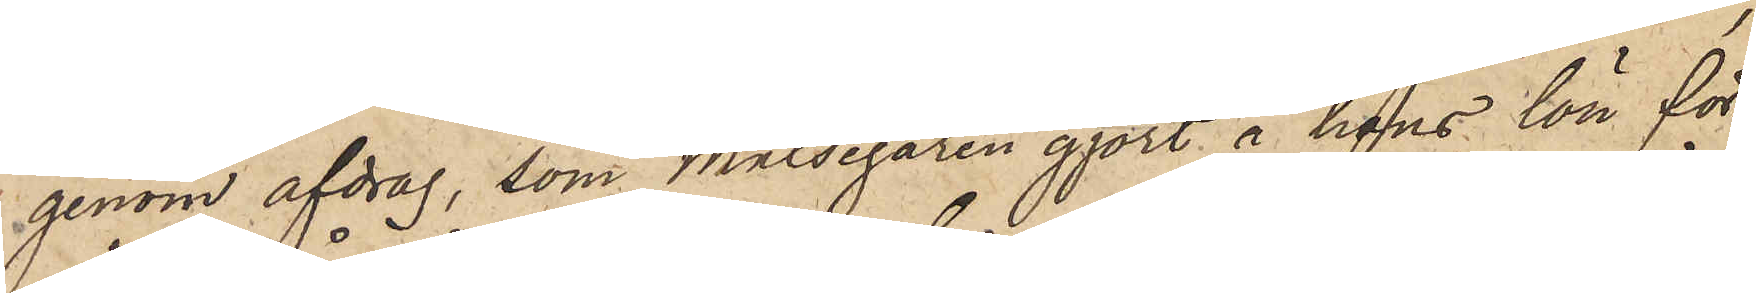genom afdrag, som målsegaren gjort å hans lön för
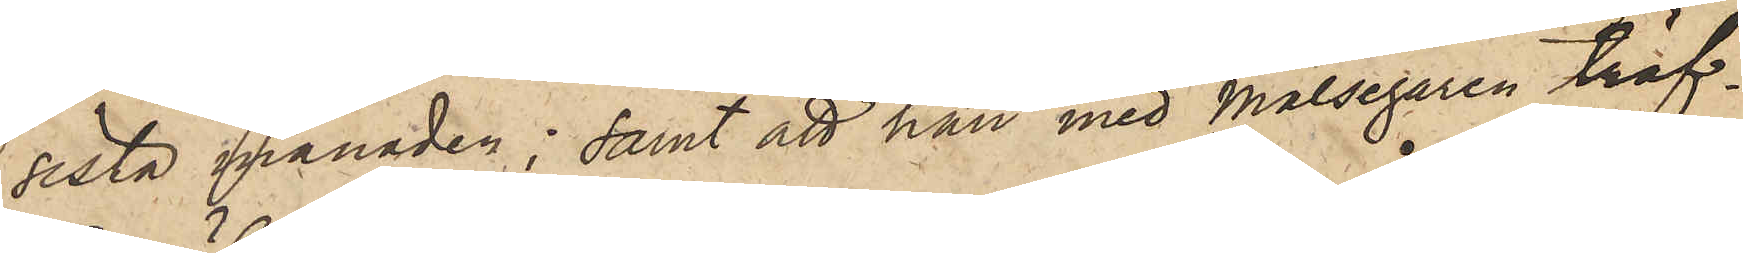sista månaden; samt att han med målsegaren träf¬
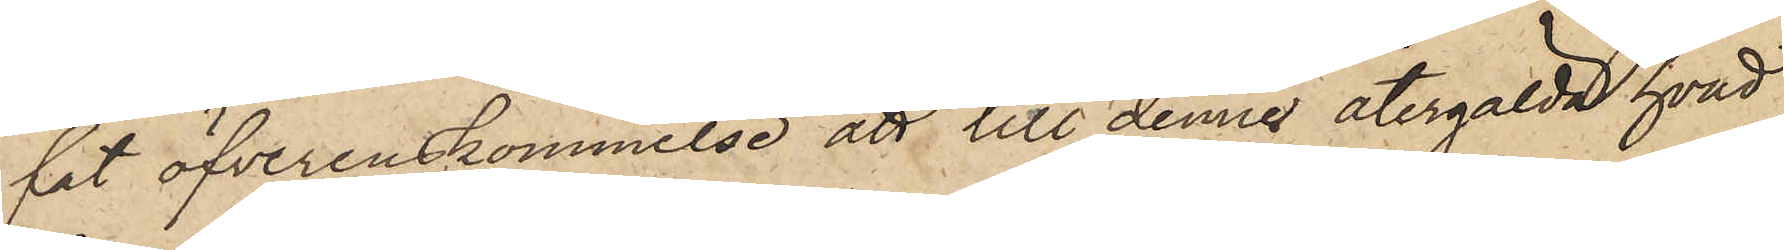fat öfverenskommelse att till denne återgälda hvad
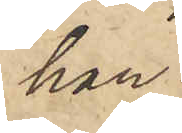han
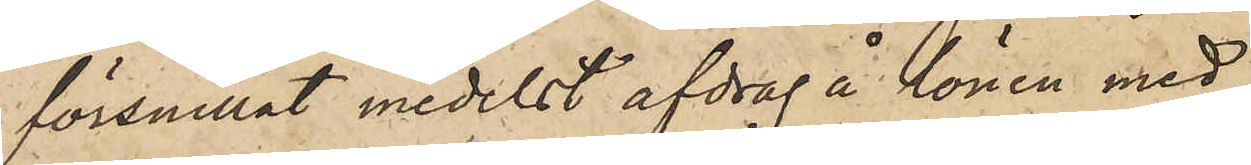försnillat medelst afdrag å lönen med
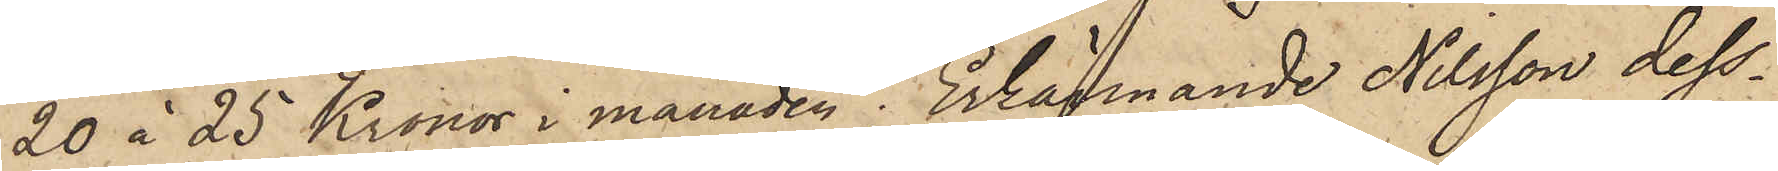20 à 25 Kronor i månaden; Erkännande Nilsson dess¬
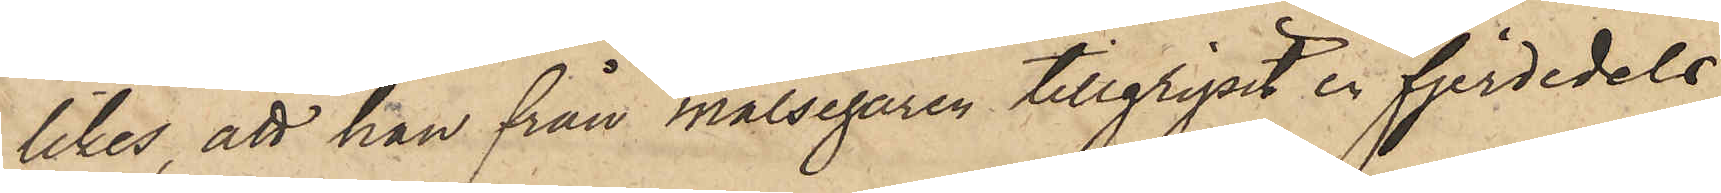likes, att han från målsegaren tillgripit en fjerdedels
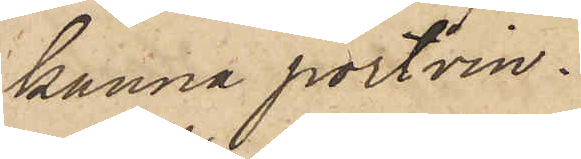kanna portvin.
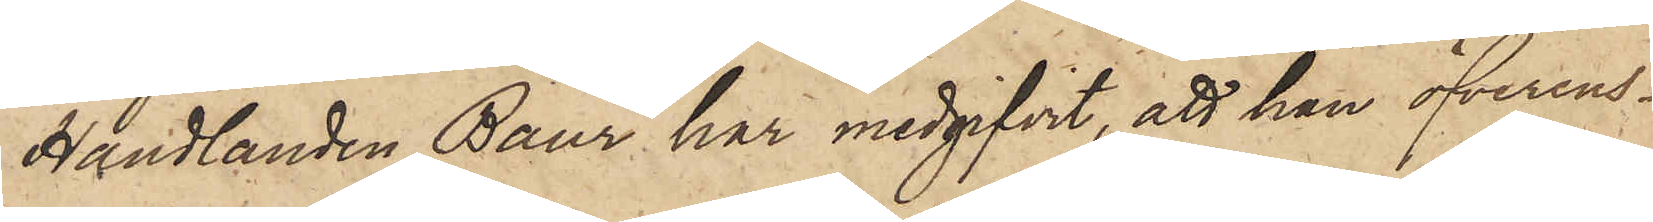Handlanden Baur har medgifvit, att han öfverens¬
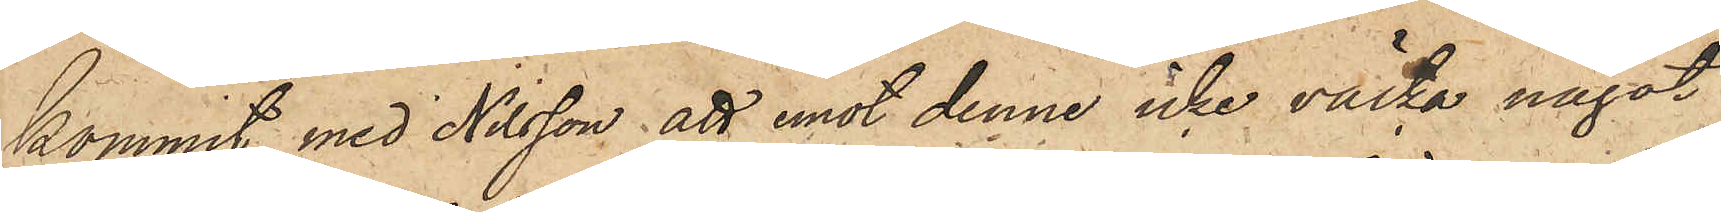kommit med Nilsson att emot denne icke väcka något
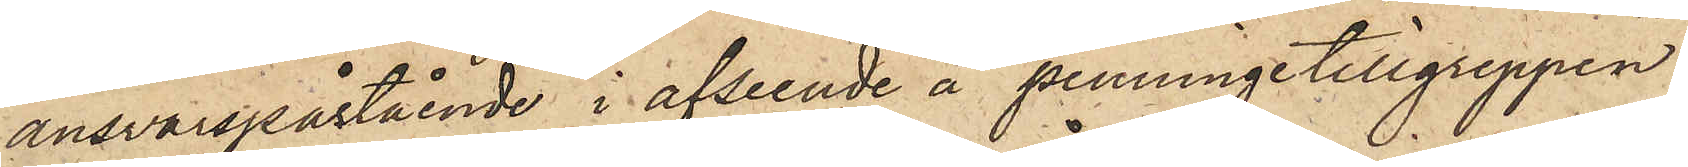ansvarspåstående i afseende å penningetillgreppen.
